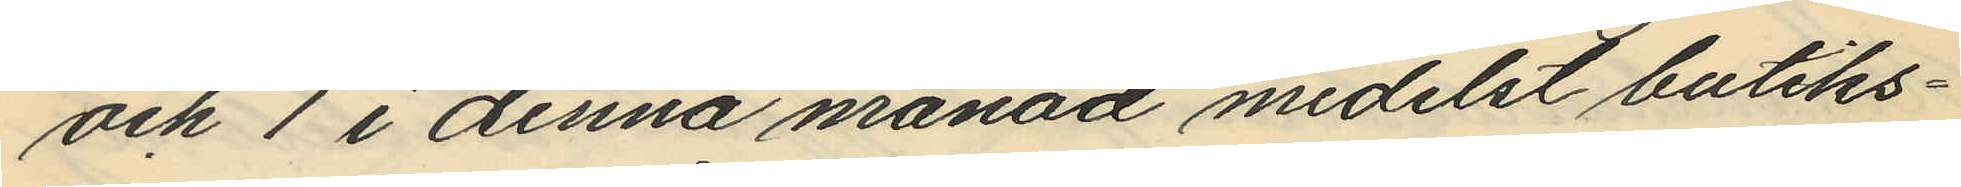och 1 i denna månad medelst butiks¬
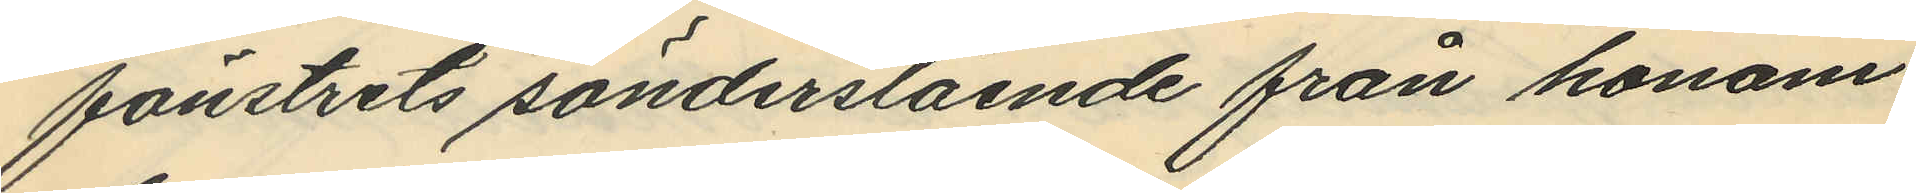fönstrets sönderslående från honom
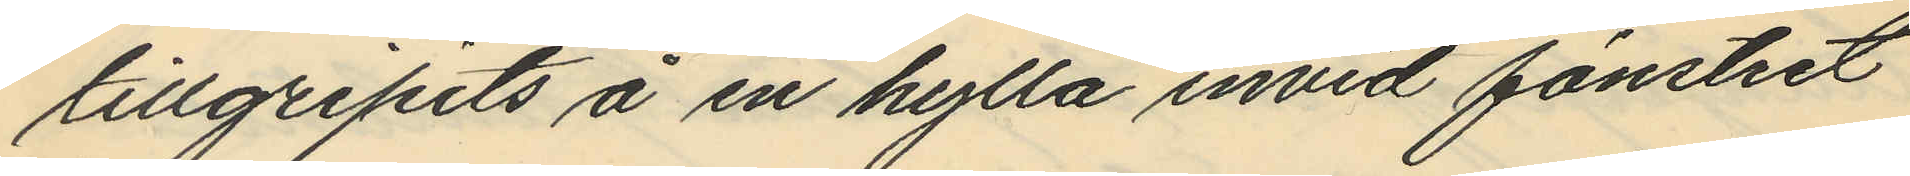tillgripits å en hylla invid fönstret
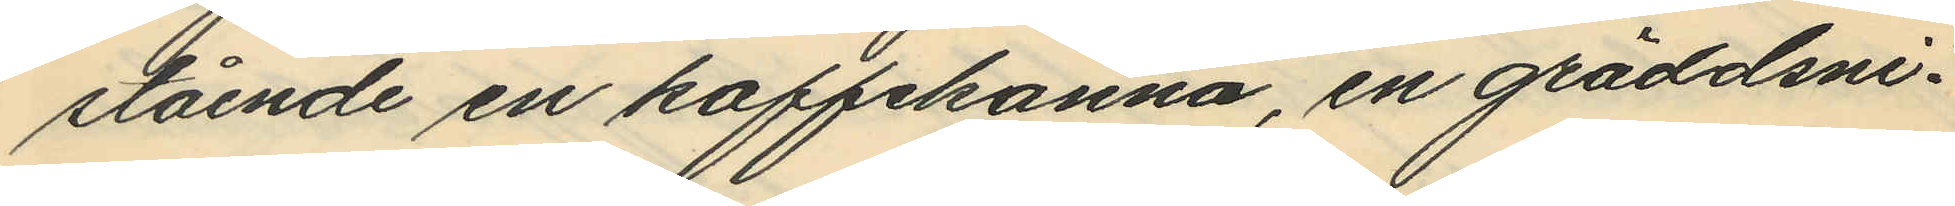stående en kaffekanna, en gräddsni¬
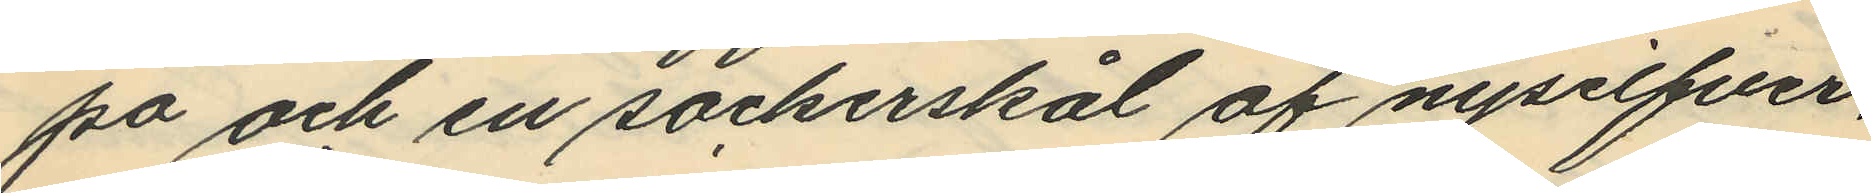pa och en sockerskål af nysilfver,
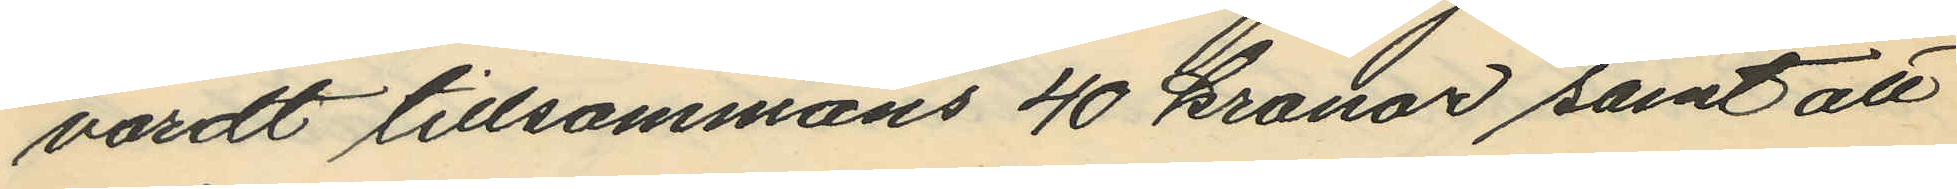värdt tillsammans 40 kronor samt att
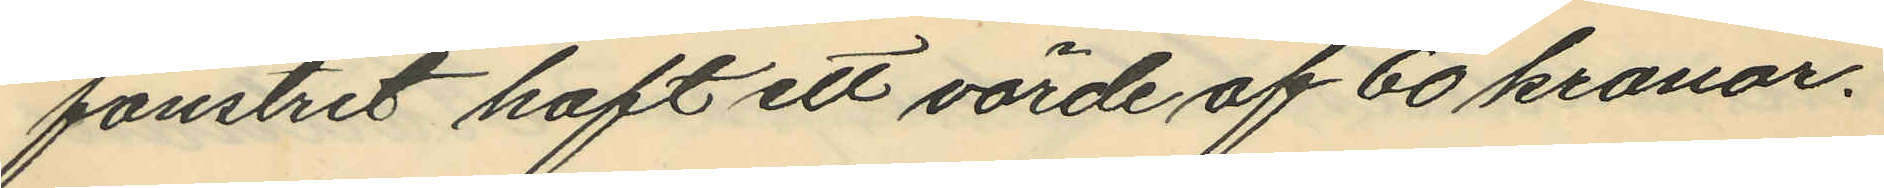fönstret haft ett värde af 60 kronor.
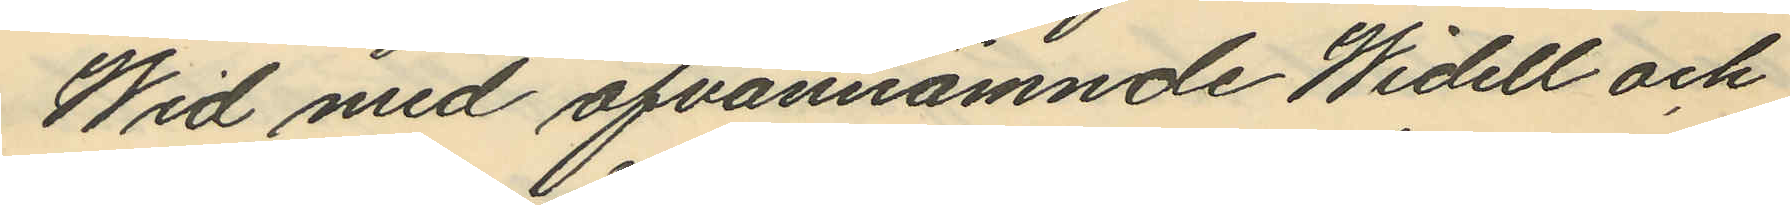Wid med ofvannämnde Widell och
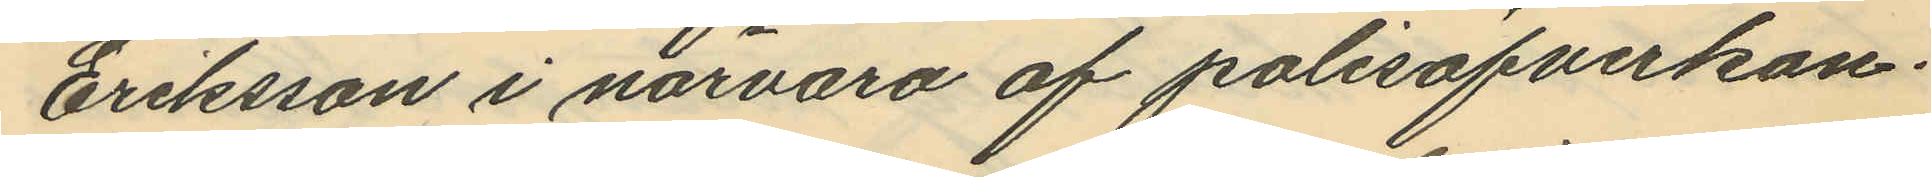Eriksson i närvaro af polisöfverkon¬
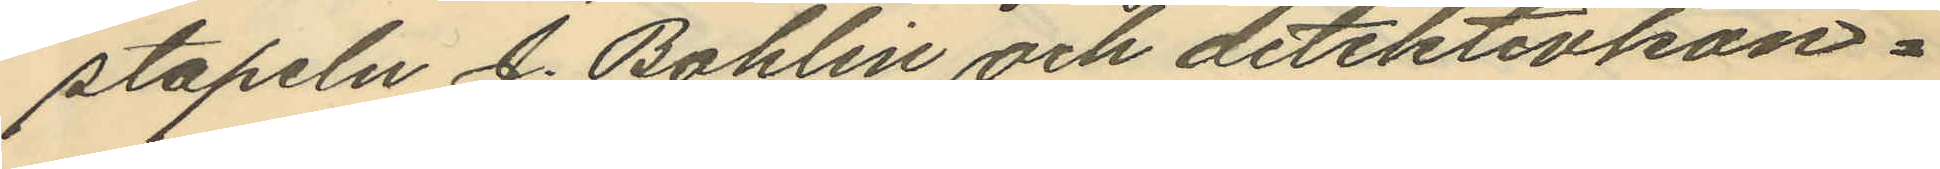stapeln J. Bohlin och detektivkon¬
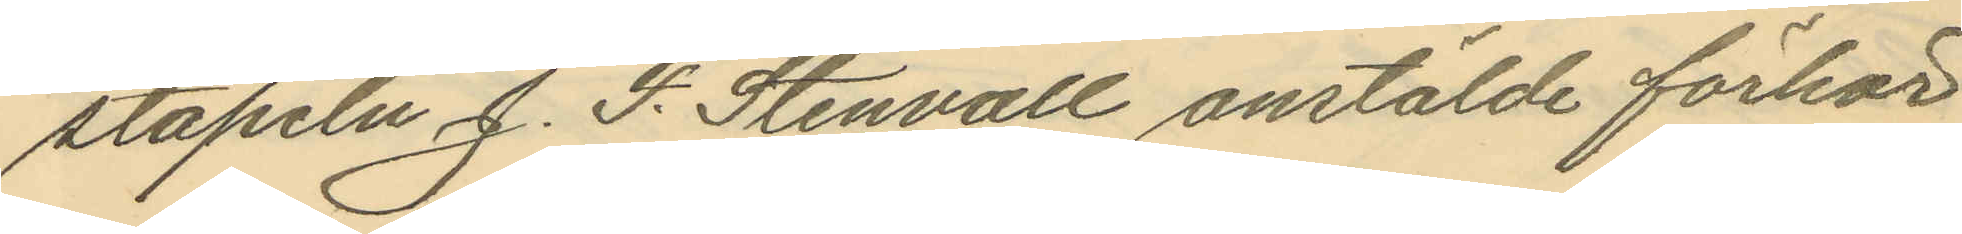stapern J. F. Stenvall anstälde förhör
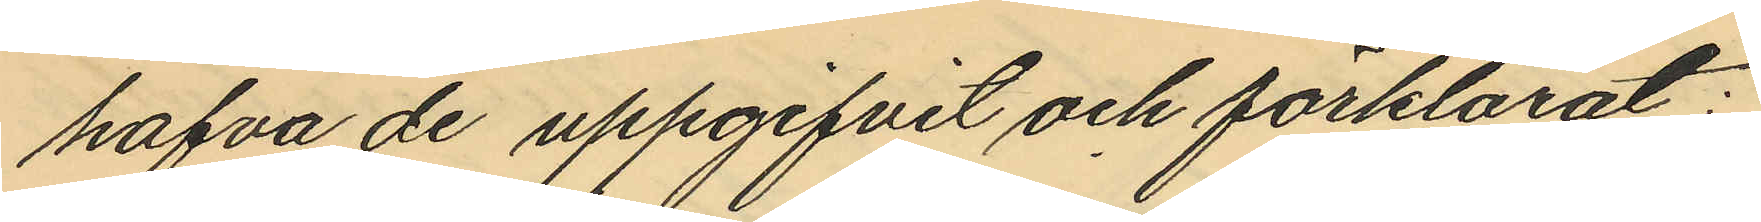hafva de uppgifvit och förklarat:
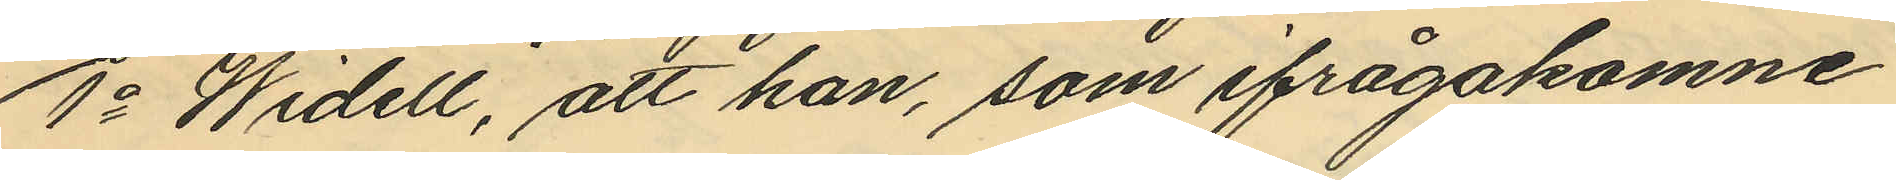1o Widell, att han, som ifrågakomne
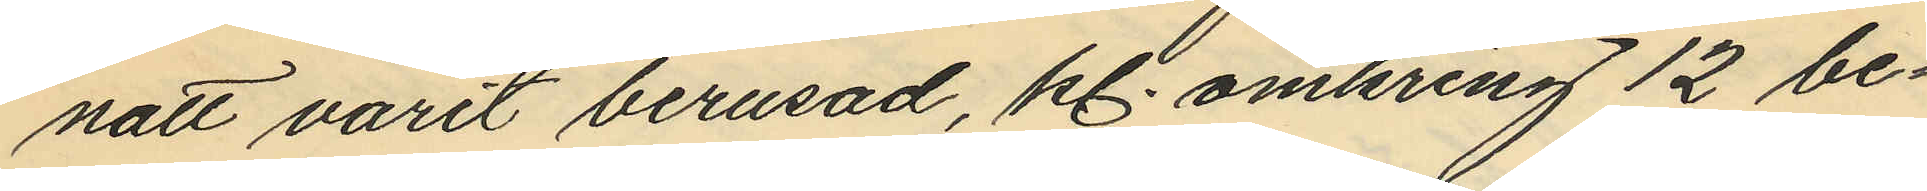natt varit berusad, kl. omkring 12 be¬
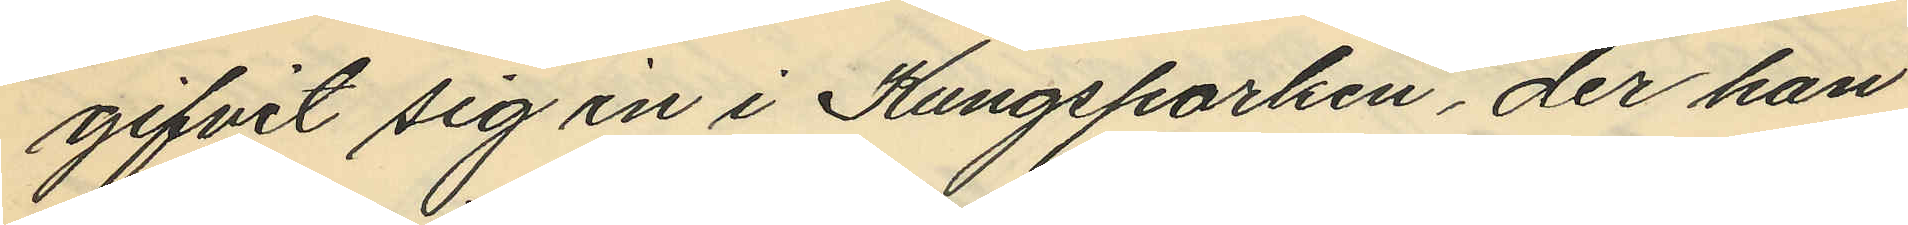gifvit sig in i Kungsparken, der han
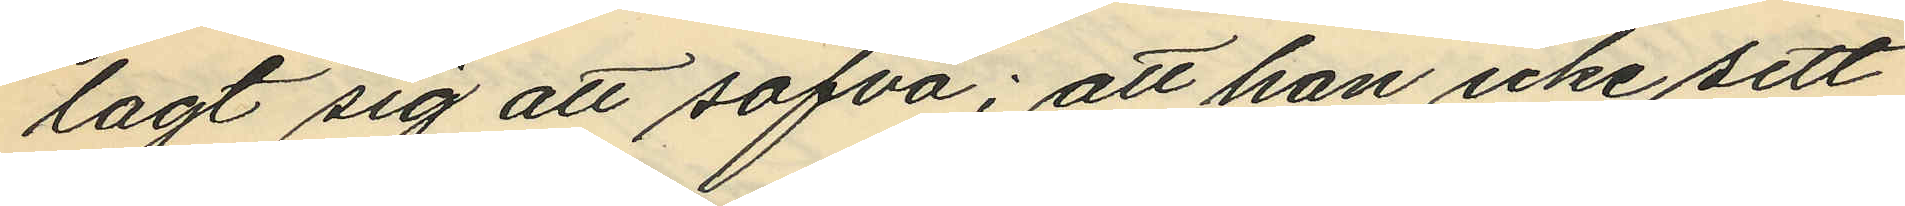lagt sig att sofva; att han icke sett
